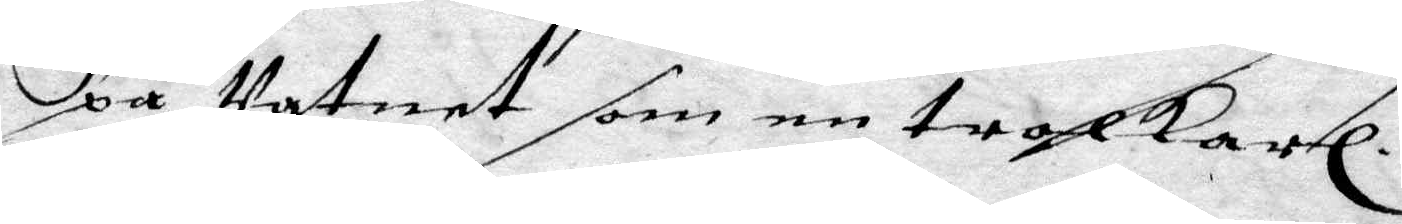på Vatnet som en trolkarl.
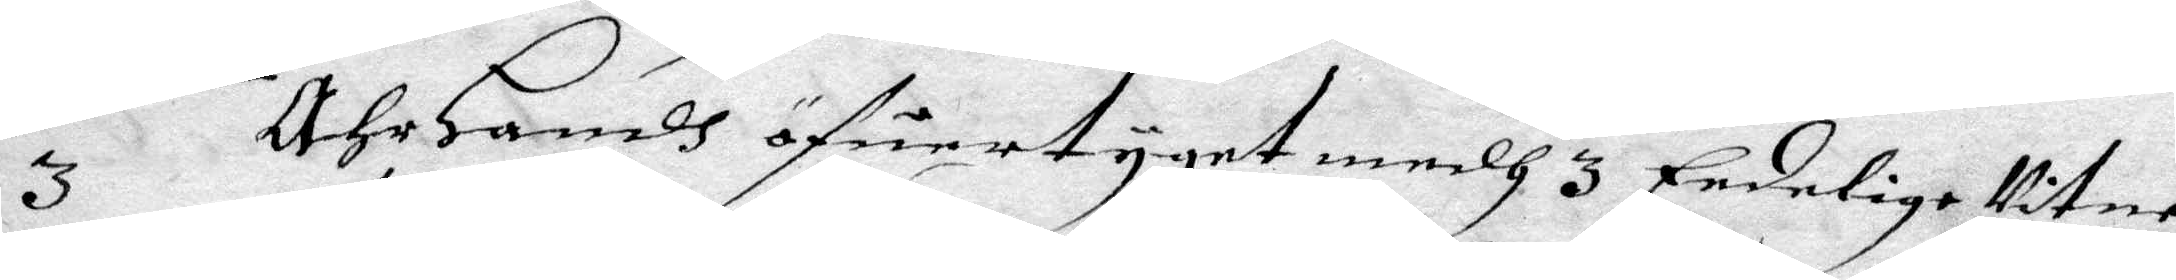3 Ähr Handh öfuertyget medh 3 Edelige Vitne
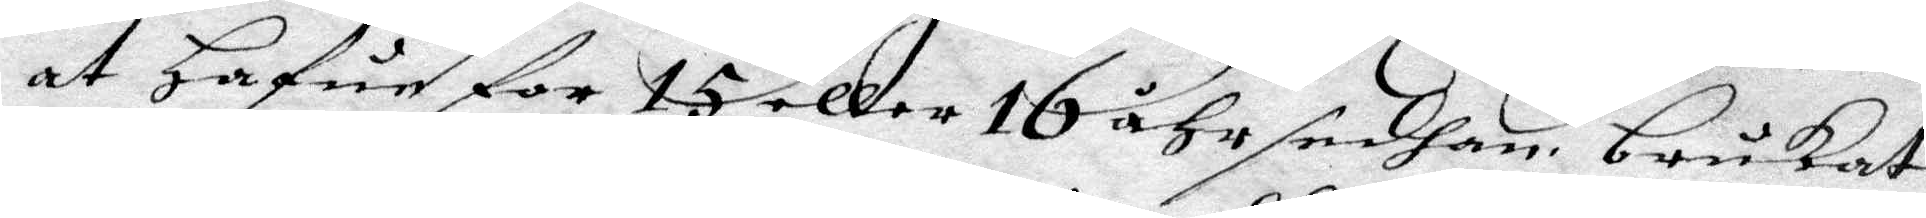at Hafue for 15 eller 16 åhr sedhan brukat
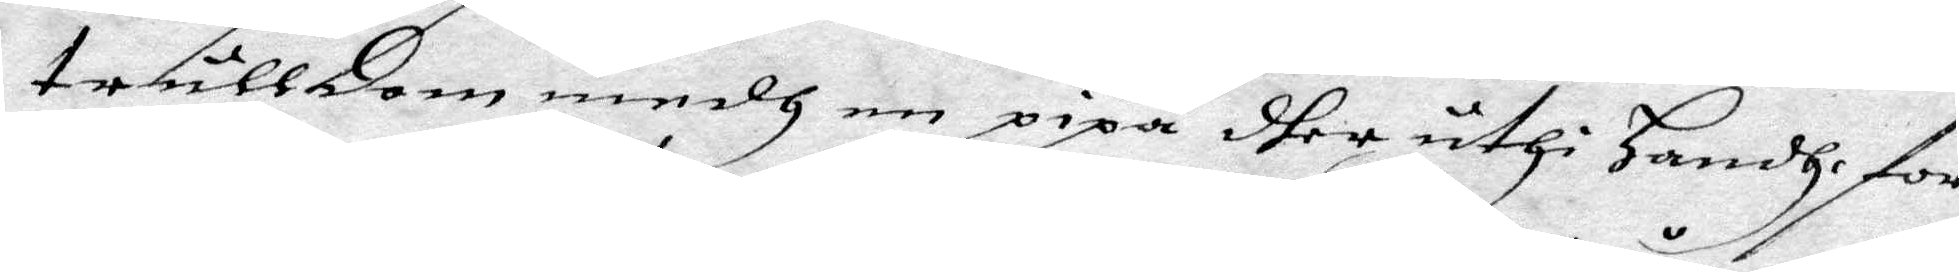trulldom medh en pipa dher uthi Handhe for¬
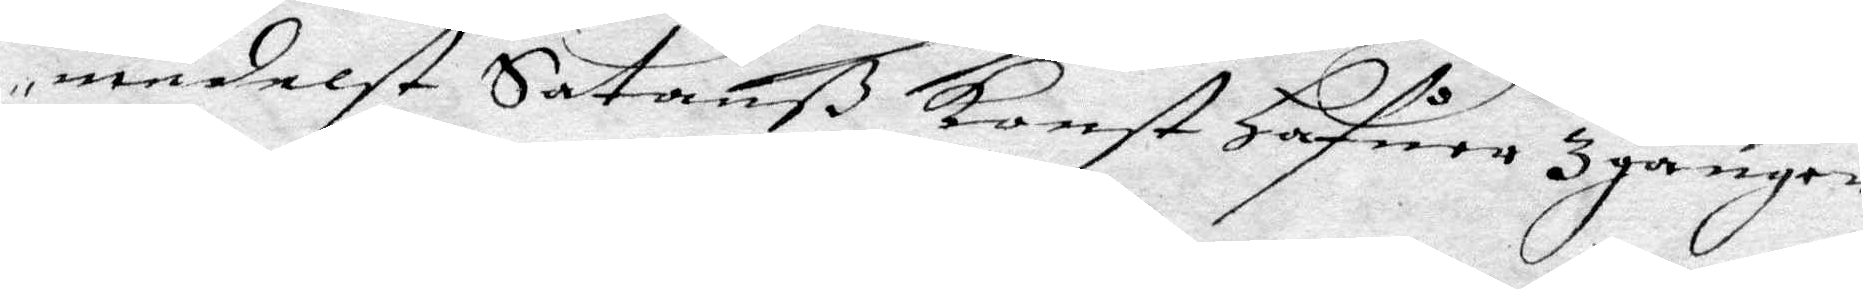medelst Satanß konst Hafuer 3 gånger
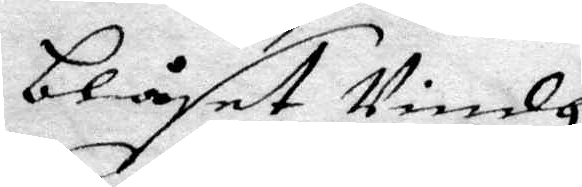blåste Vindh.
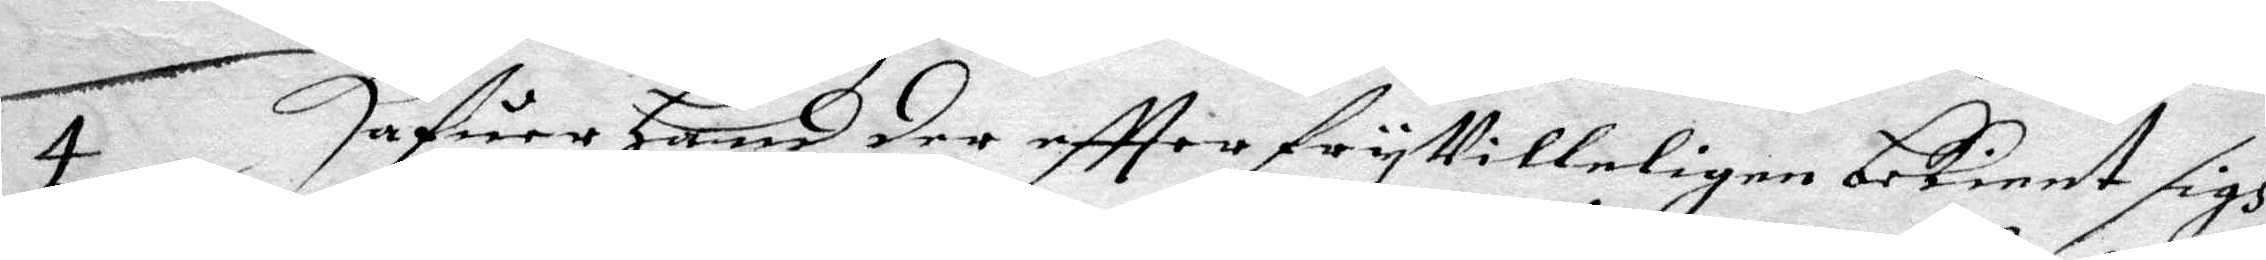4 Hafuer Hand der eftter fryVilleligen bekient sigh
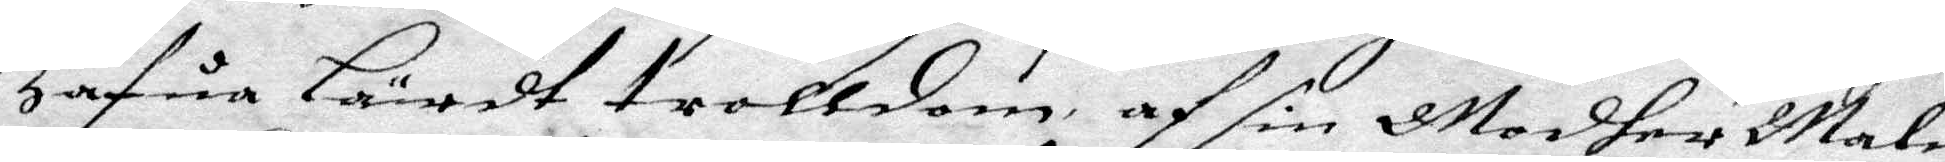Hafua Lärdt trolldom af sin Modher Malin
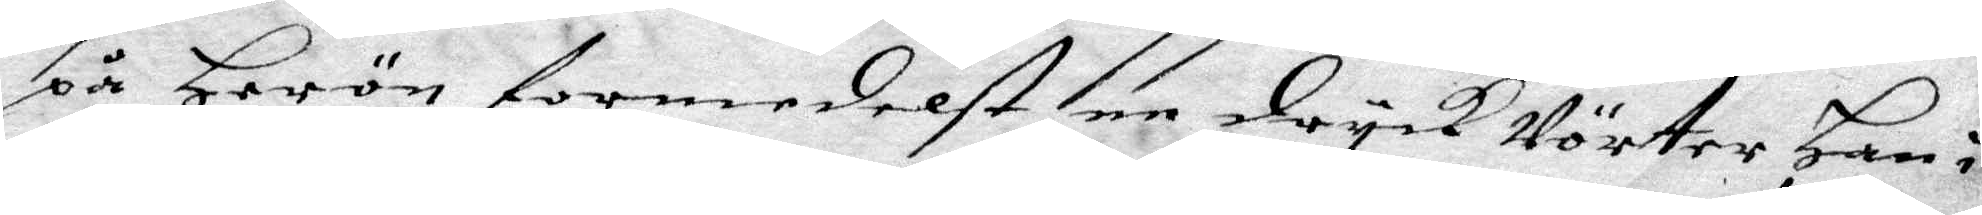på Herön formedelst dryck Vörter Han i
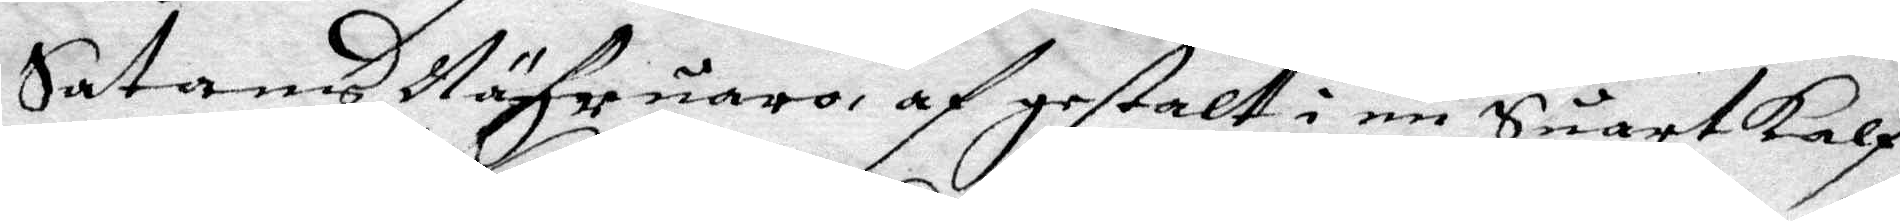Sathans Nähruaro af gestalt i en Suart kalf
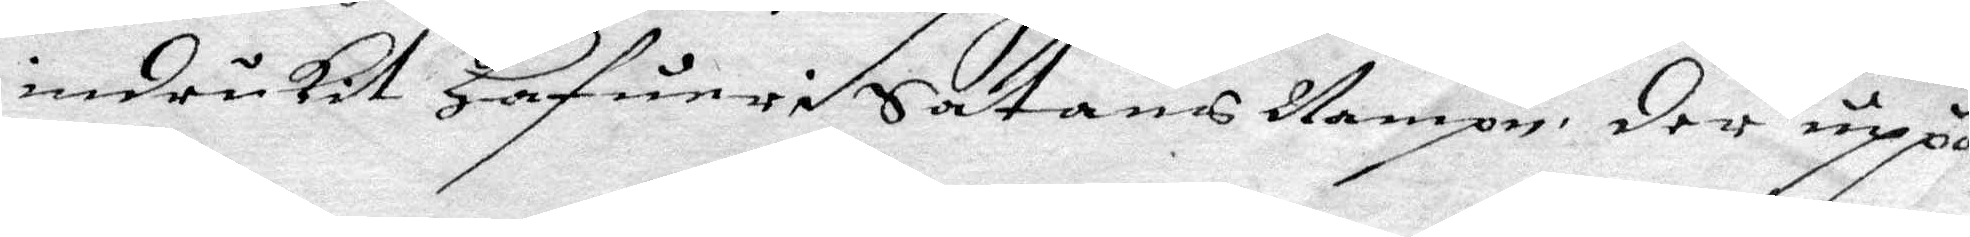indrukit Hafuer i Satans Nampn, der uppå
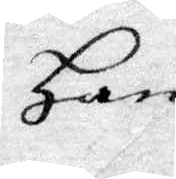Han
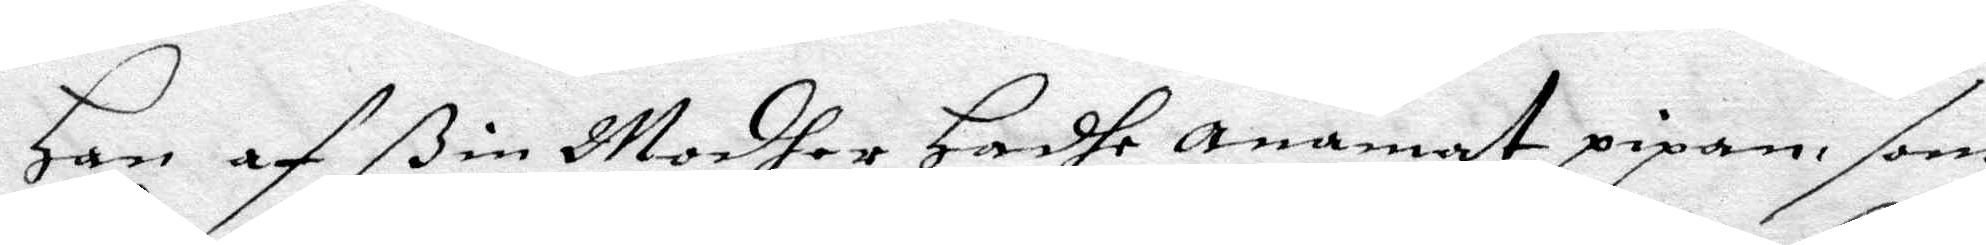Han af ßin Modher Hadhe anamat pipan, som
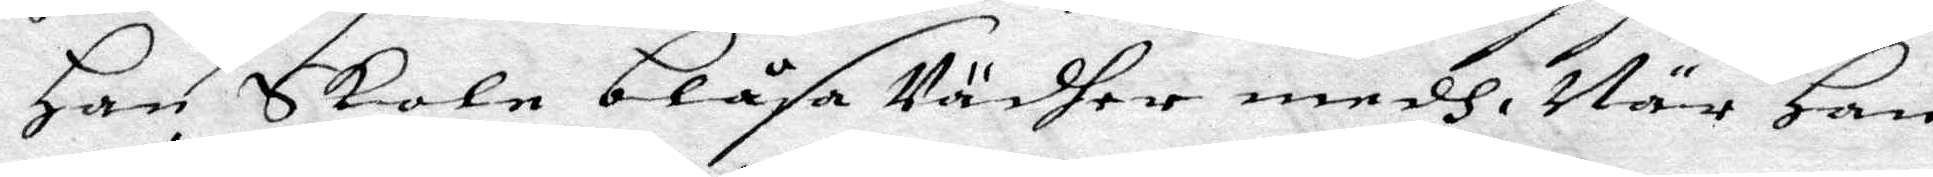Han Skole blåsa Väsher medh. När han
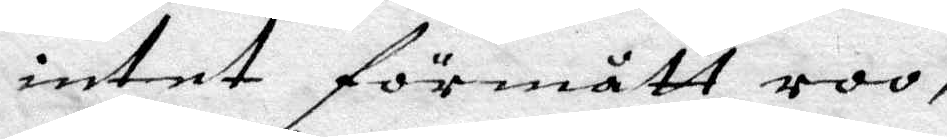intet förmått roo,
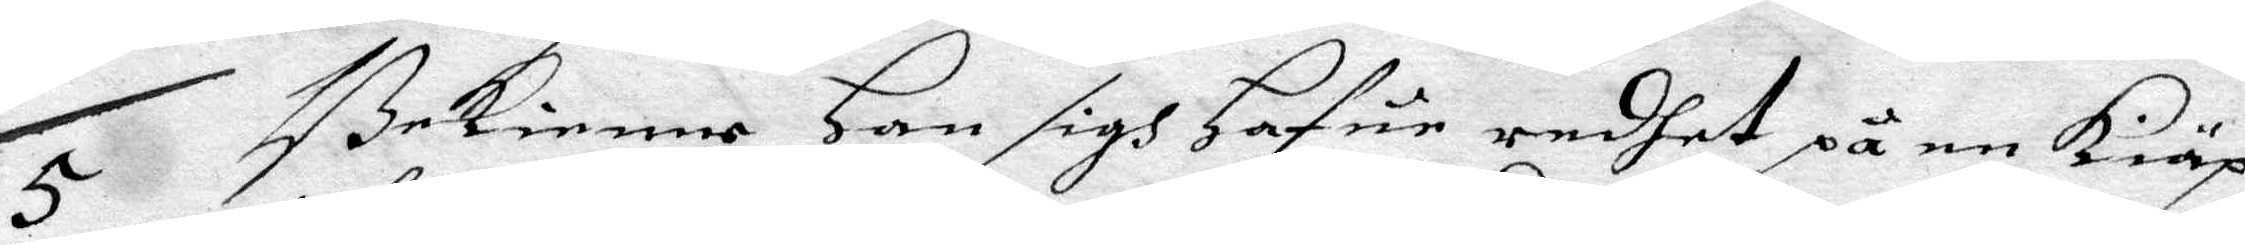5 Bekienne Han sigh Hafua redhet på en kiäp
